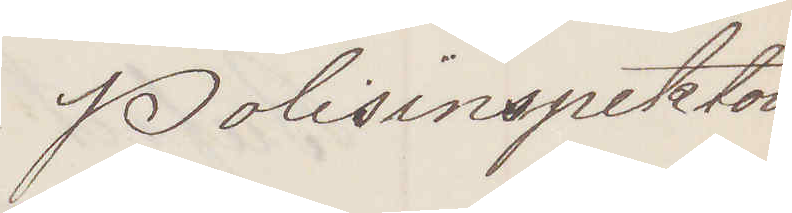Polisinspektorn
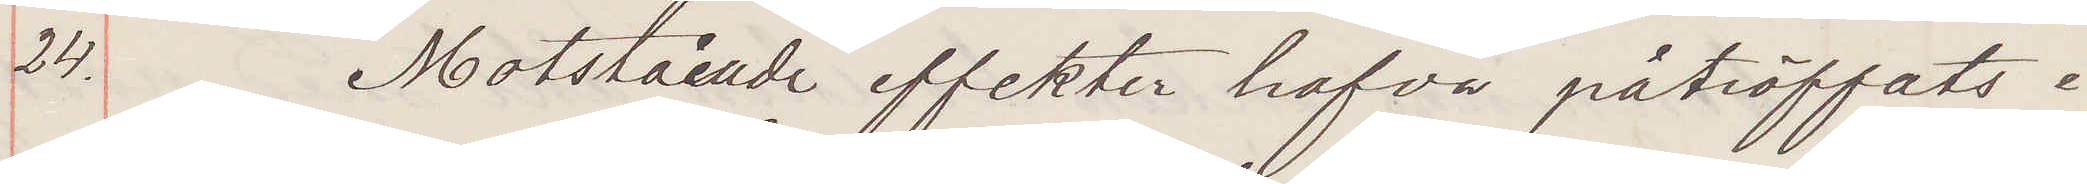24. Motstående effekter hafva påträffats i
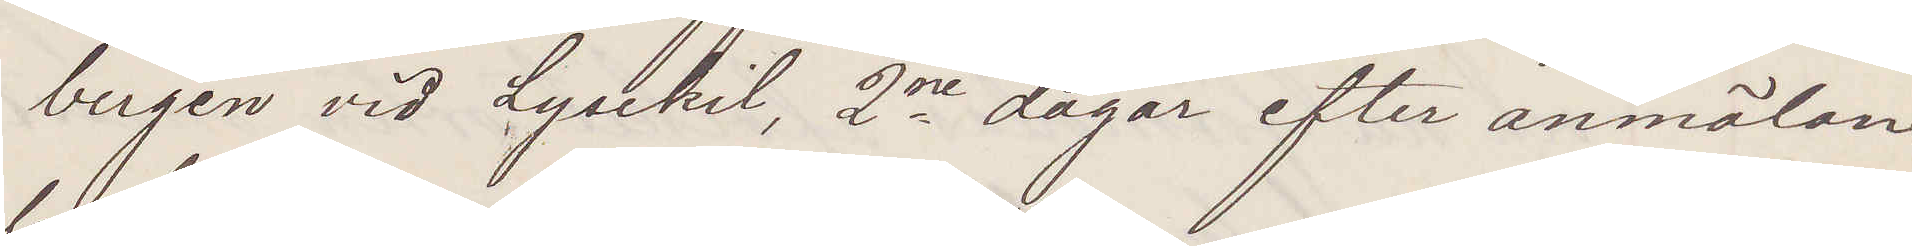bergen vid Lysekil, 2ne dagar efter anmälan
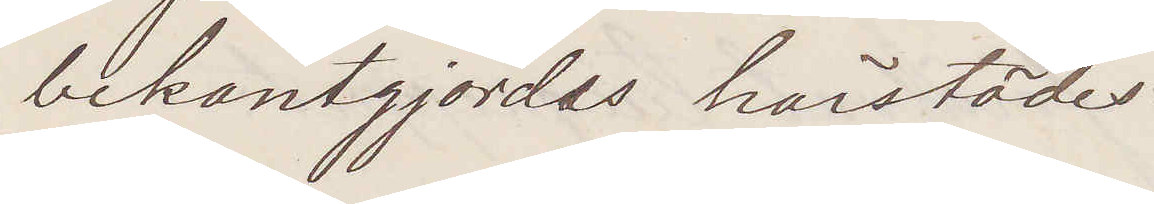bekantgjordes harstädes.
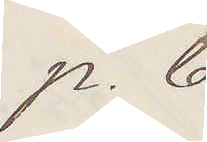p. b.
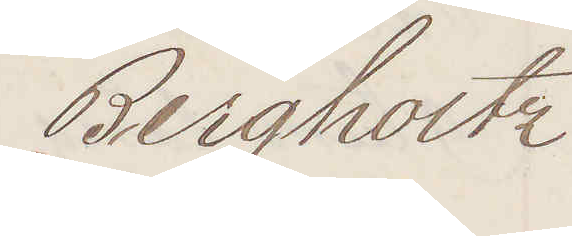Bergholtz
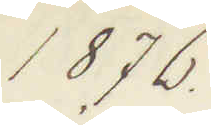1876
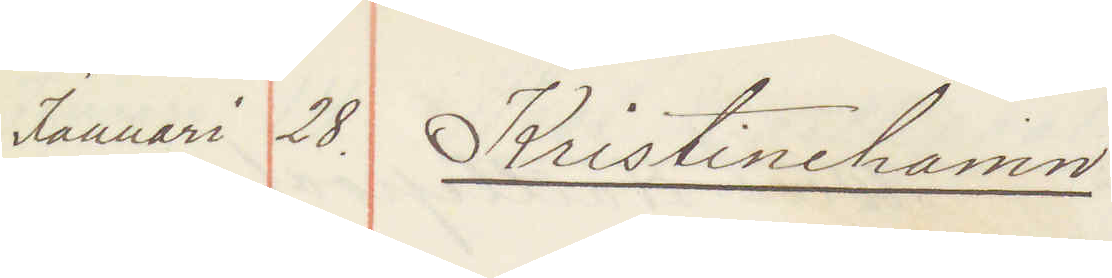Januari 28 Kristinehamn:
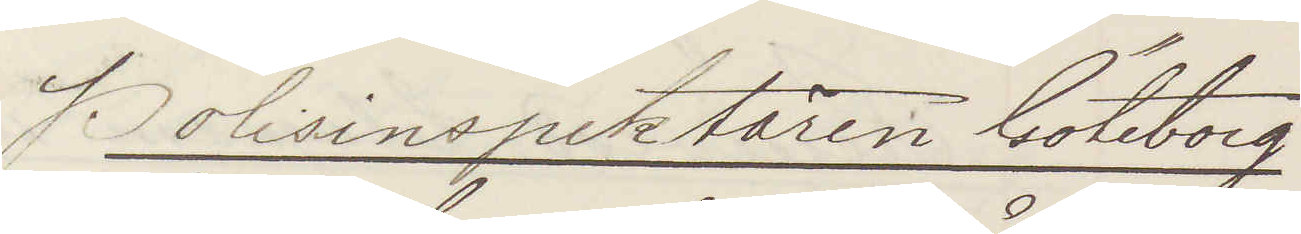Polisinspektören Göteborg
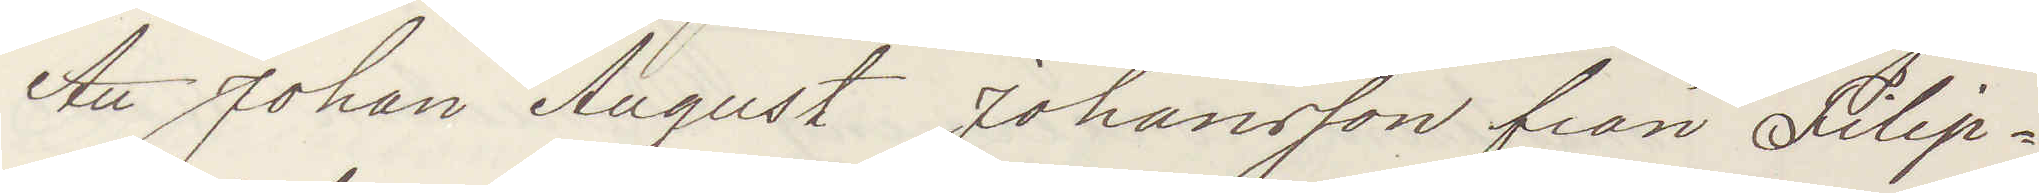Att Johan August Johansson från Filip¬
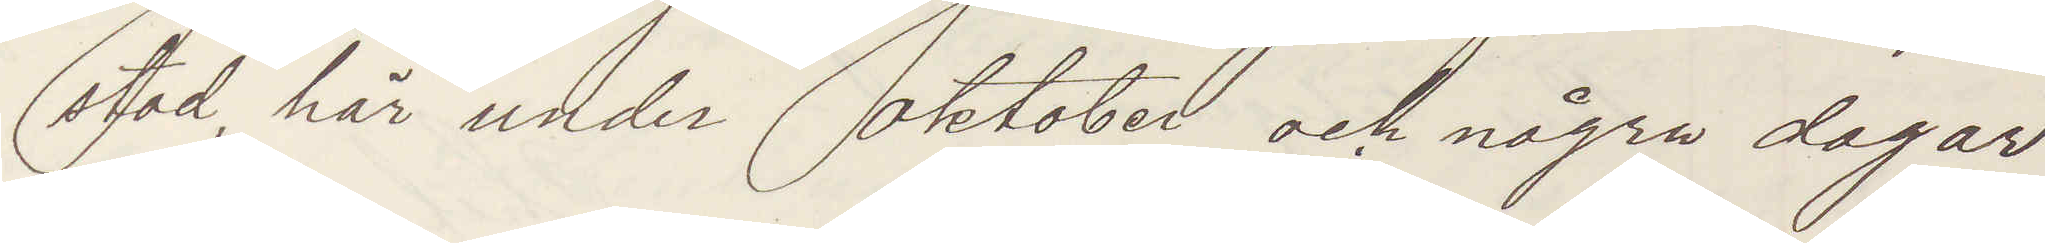stad här under oktober och några dagar
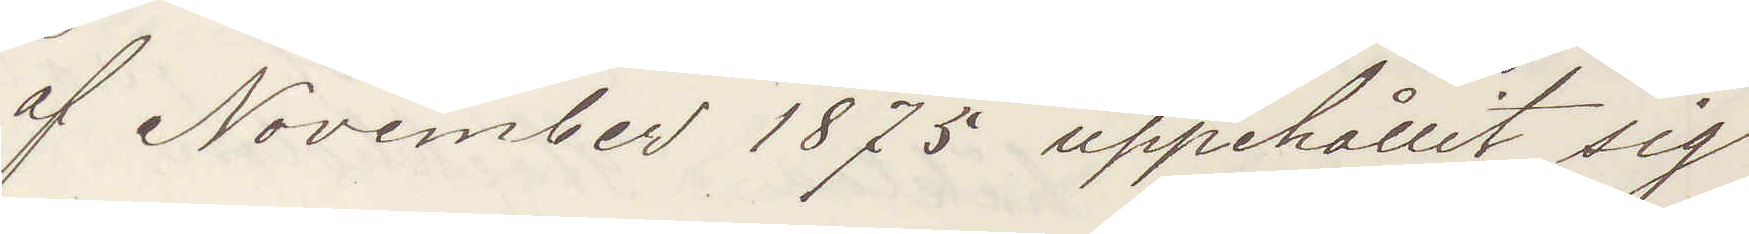af November 1875 uppehållit sig.
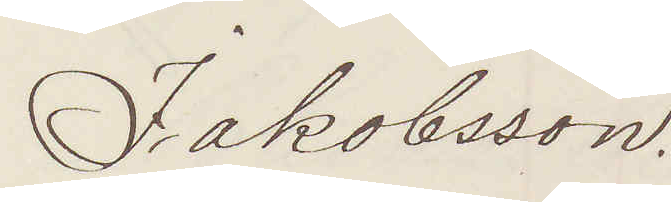Isaksson.
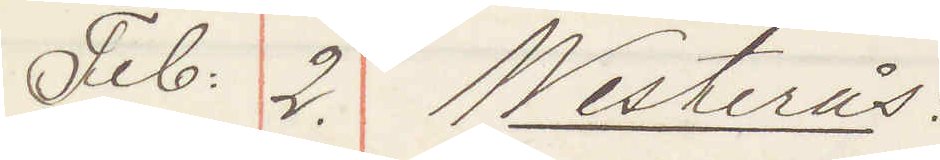Feb: 2. Westerås:
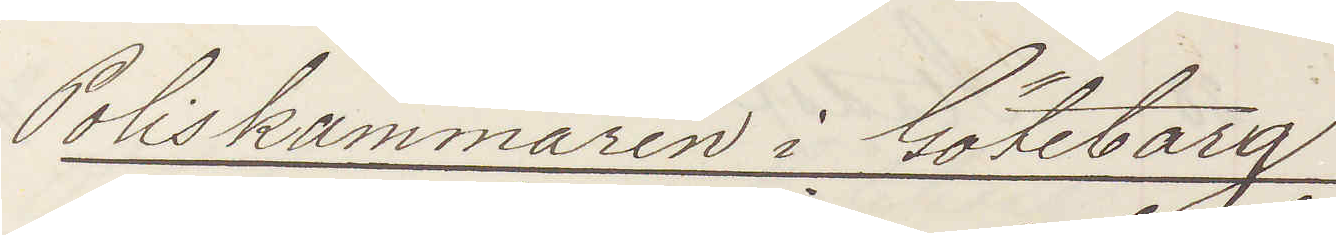Poliskammaren i Göteborg
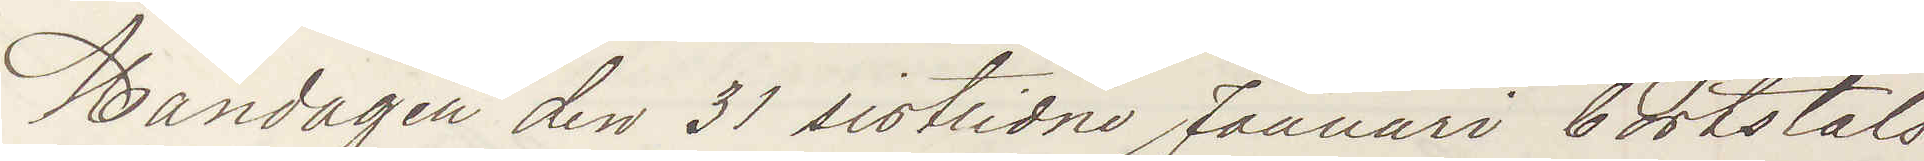Måndagen den 21 sistlidne Januari bortstals
